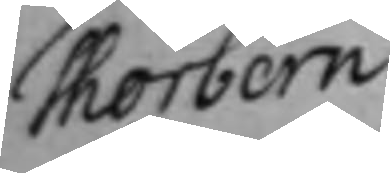Thorbern
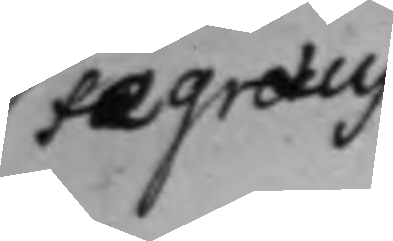Fegraeus
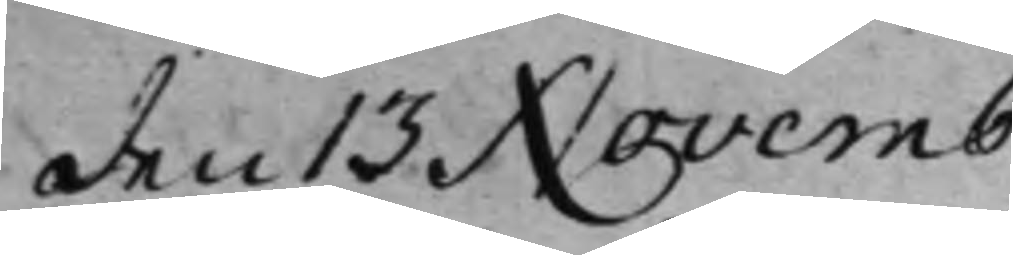den 13 Novemb:
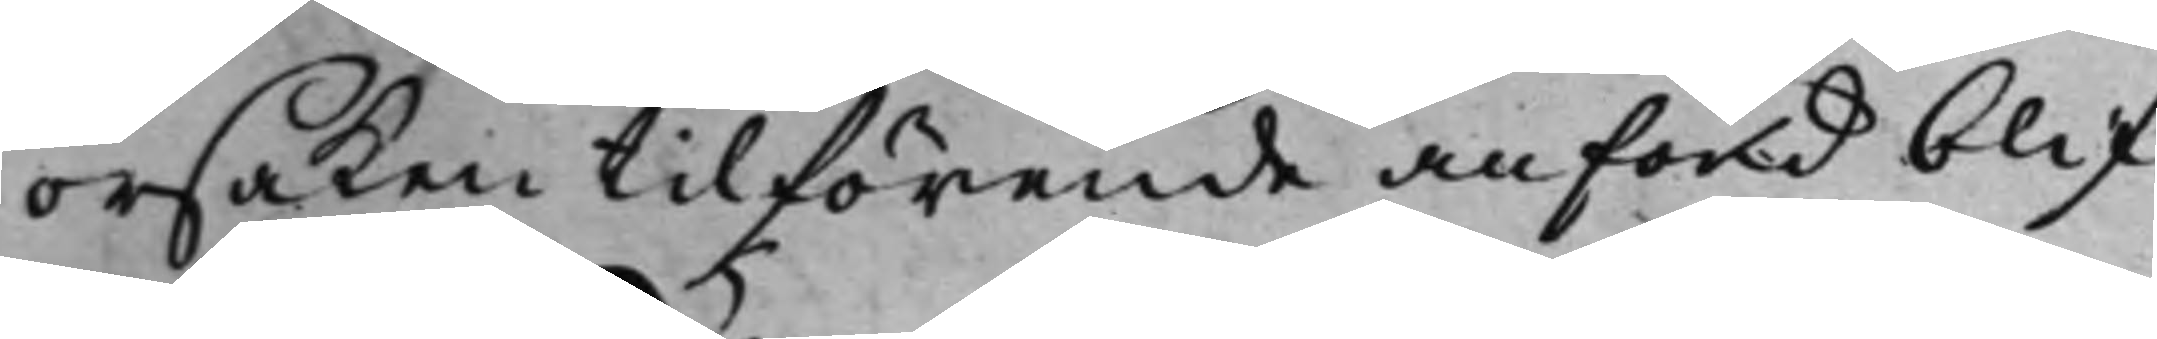orsaken tilförende anförd blif¬
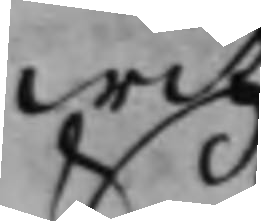wit.
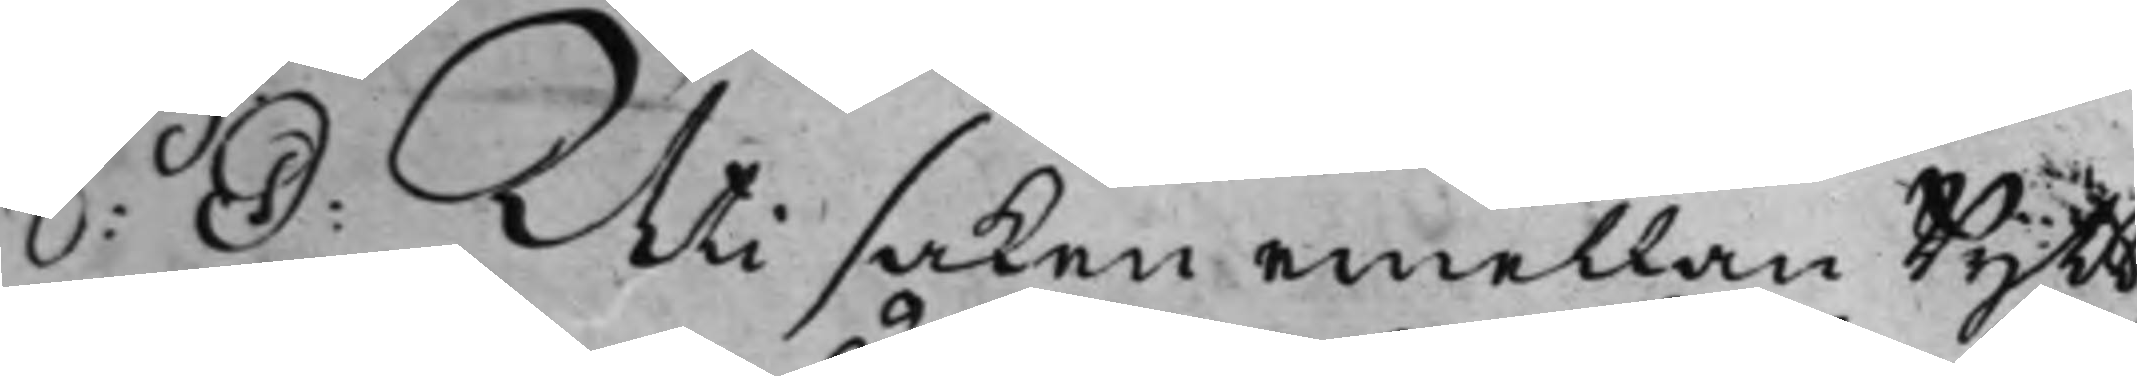S: D: Uti saken emellan Rytt¬
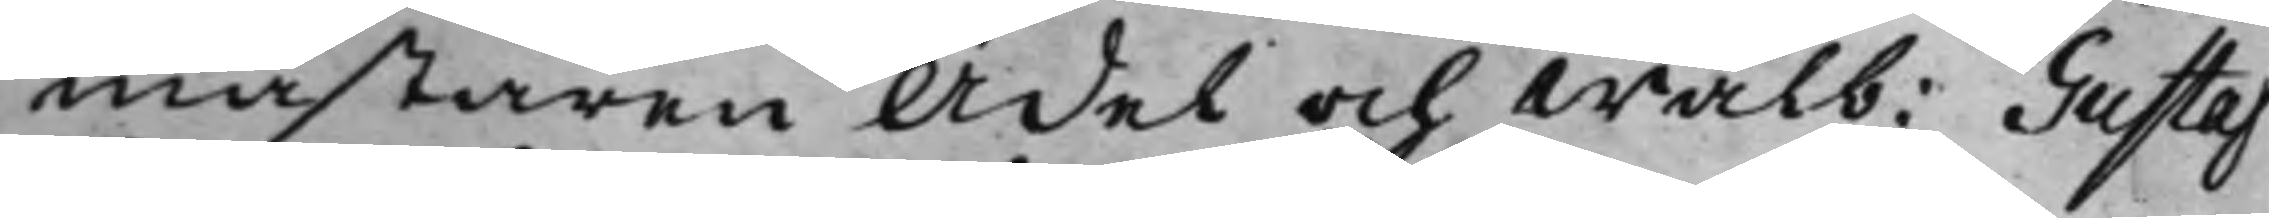mästaren Ädel och Wälb: Gustaf
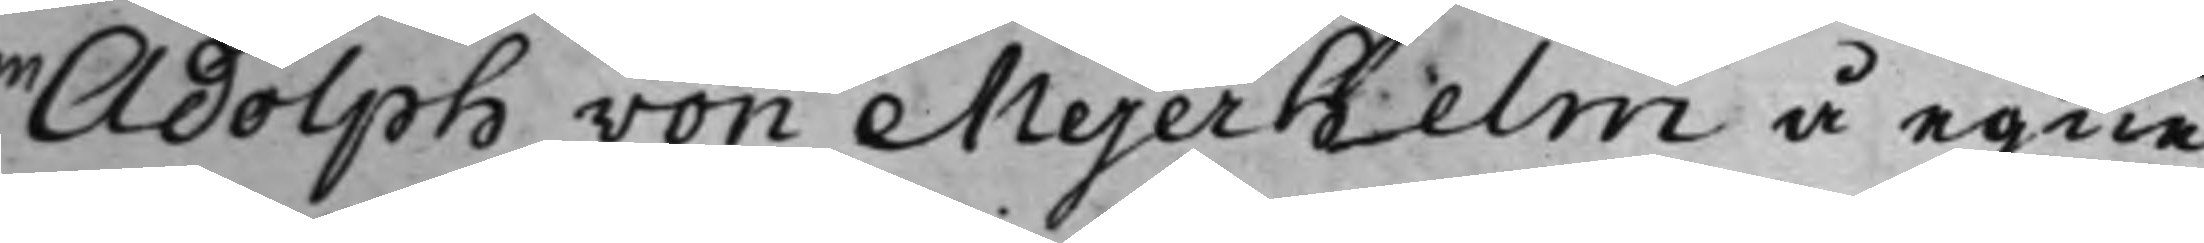Adolph von Mejerhelm å egne
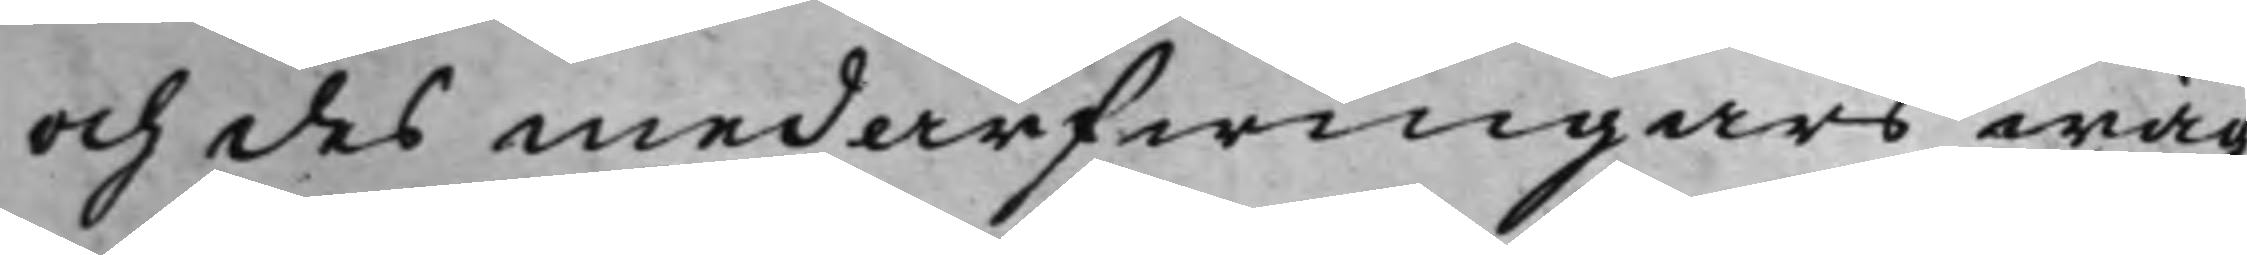och des medarfwingars wäg¬
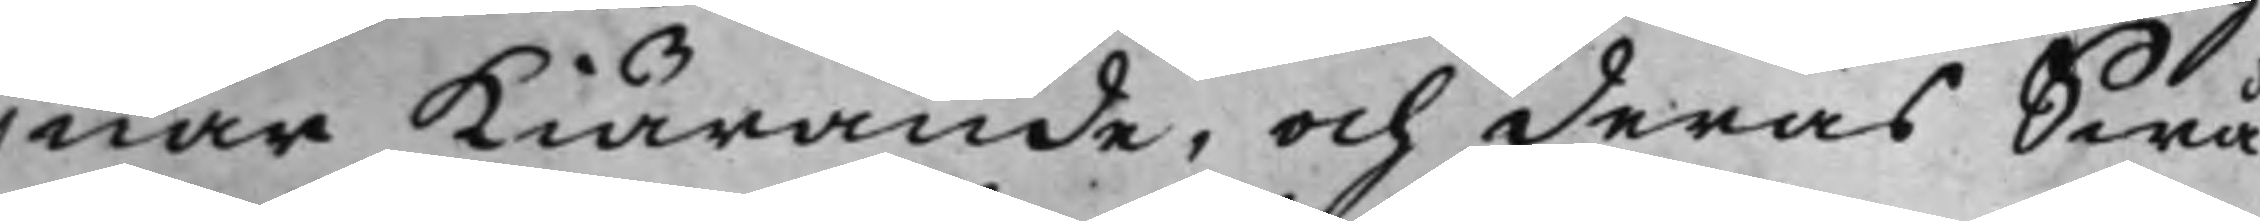nar Kiärande, och deras Swå¬
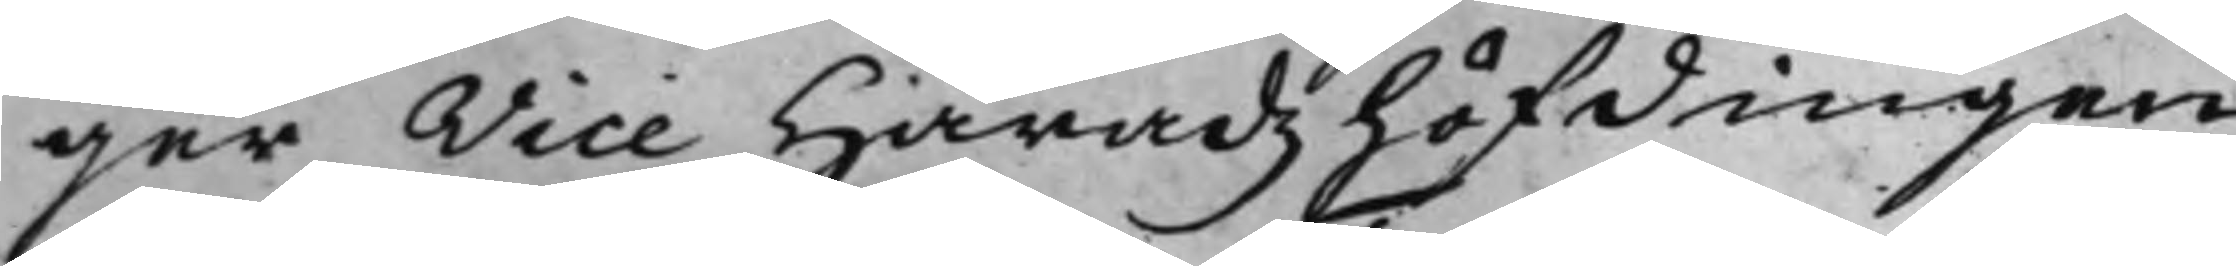ger, Vice Häradzhöfdingen
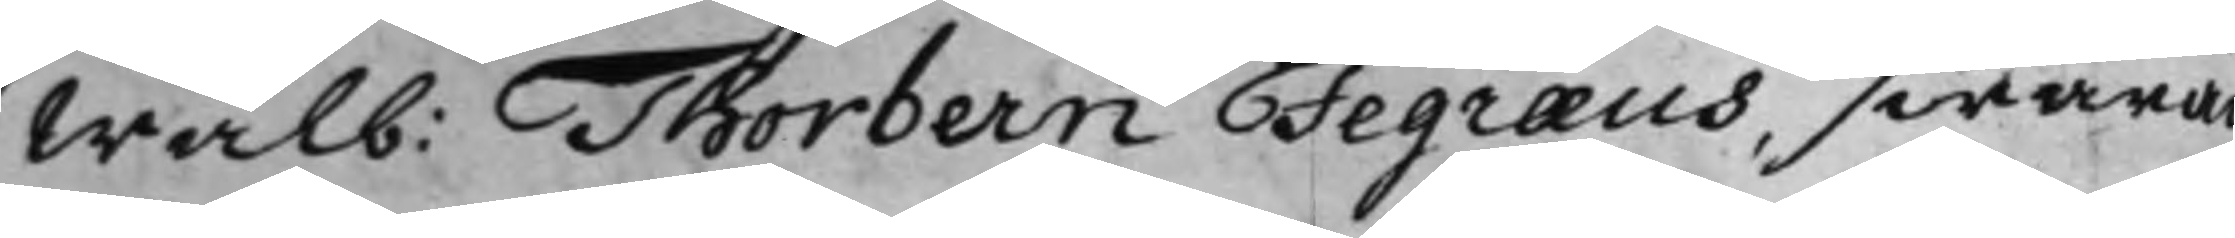Wälb: Thorbern Fegraeus, swaran¬
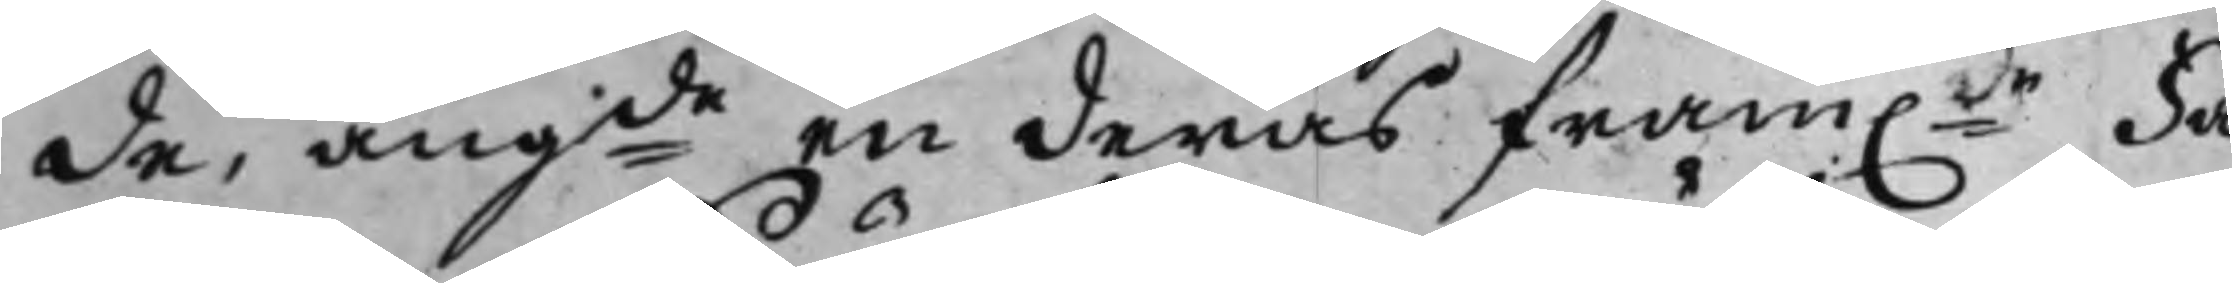de, angde en deras fram.de Fa¬
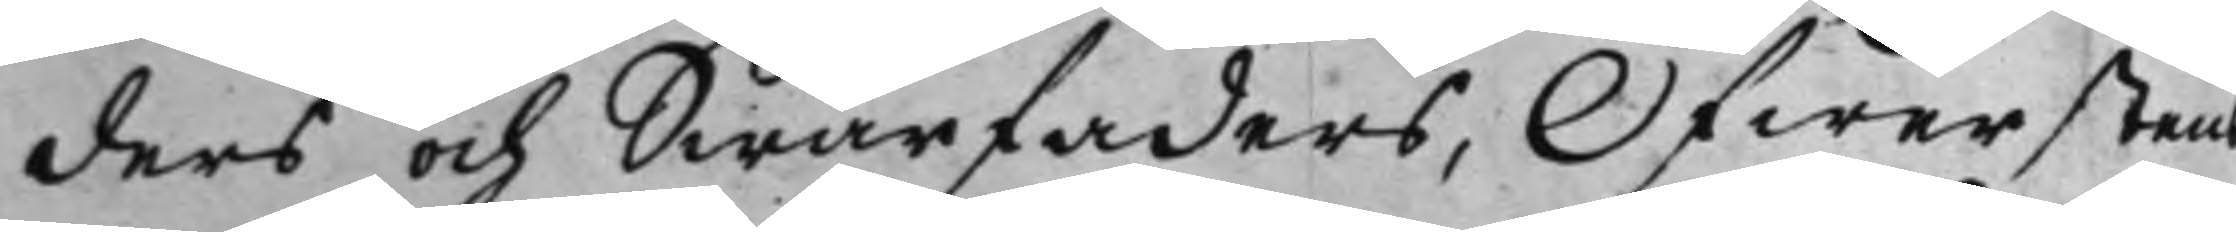ders och Swärfaders, Öfwerstens
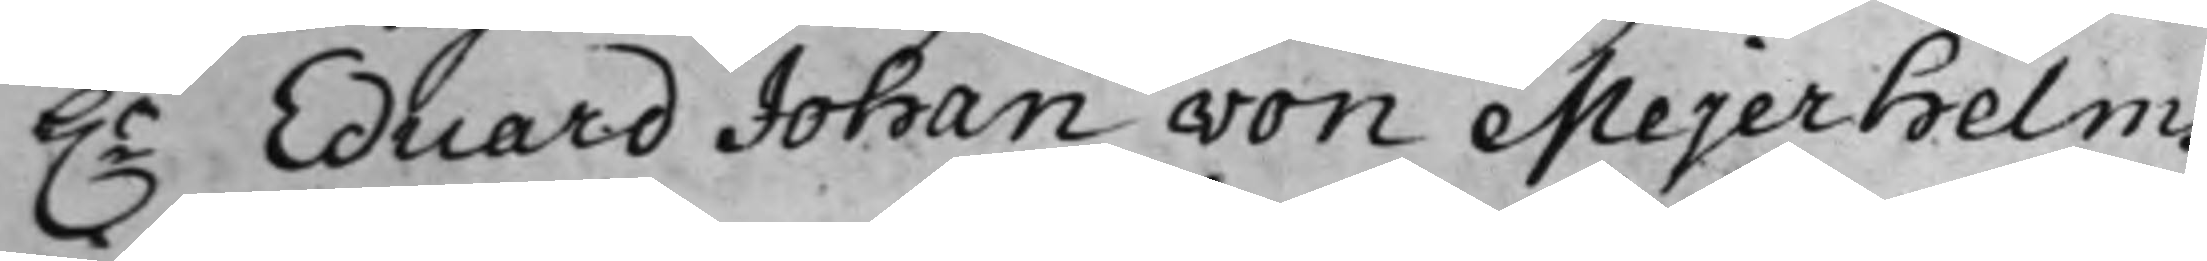h.r Eduard Johan von Mejerhelms
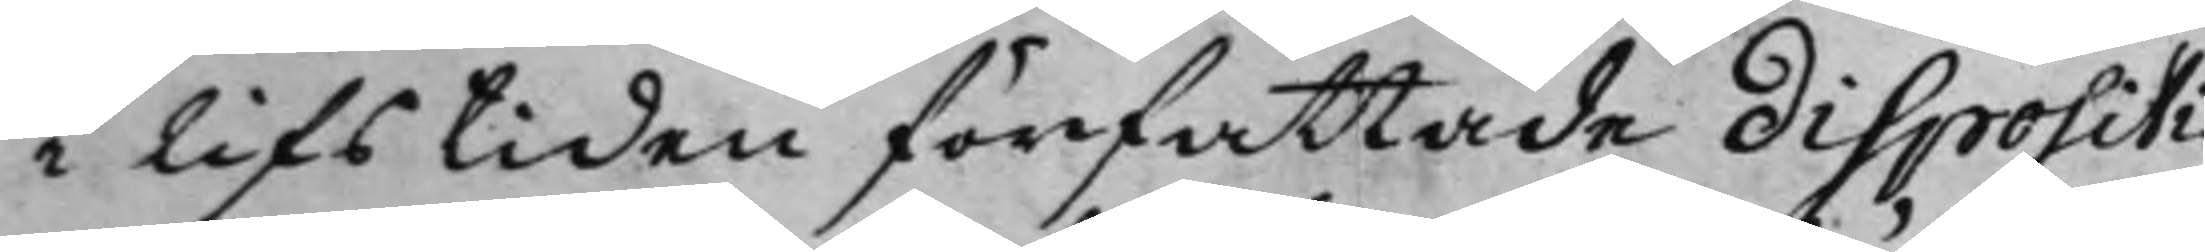i lifstiden författade dispositi¬
